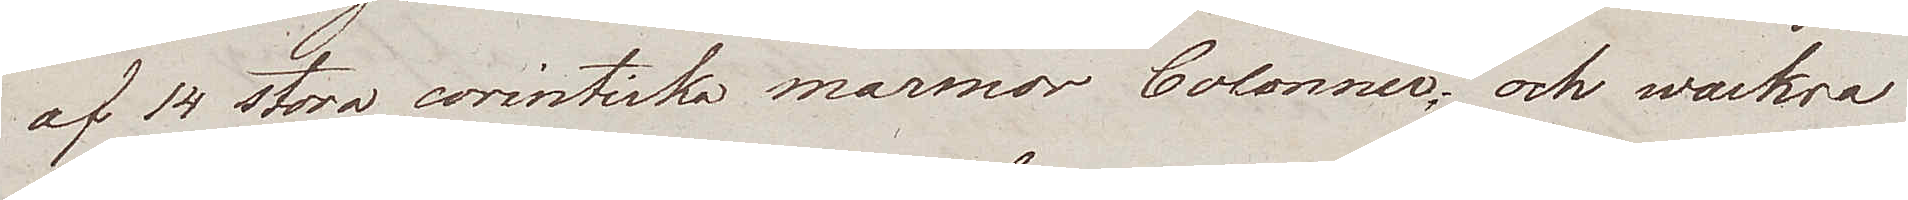af 14 stora corintiska marmor Colonner, och wackra
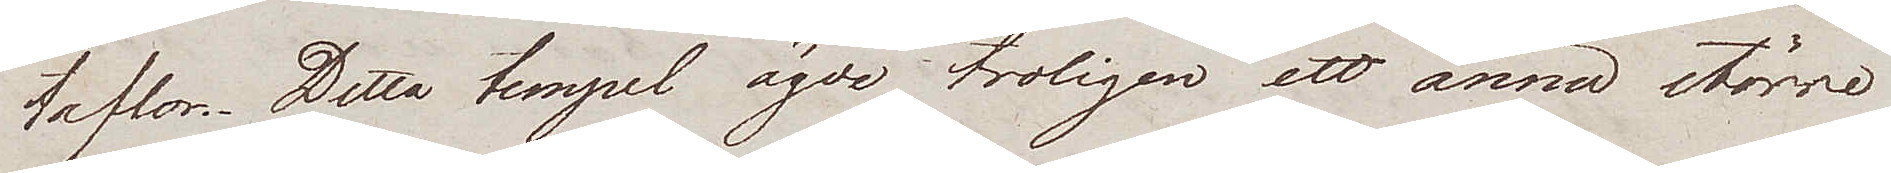taflor. Detta tempel ägde troligen ett ännu större
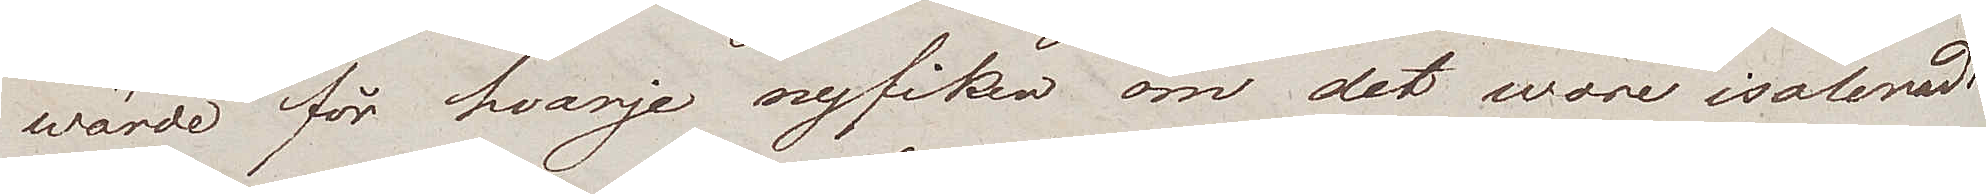wärde för hvarje nyfiken om det wore isoleradt
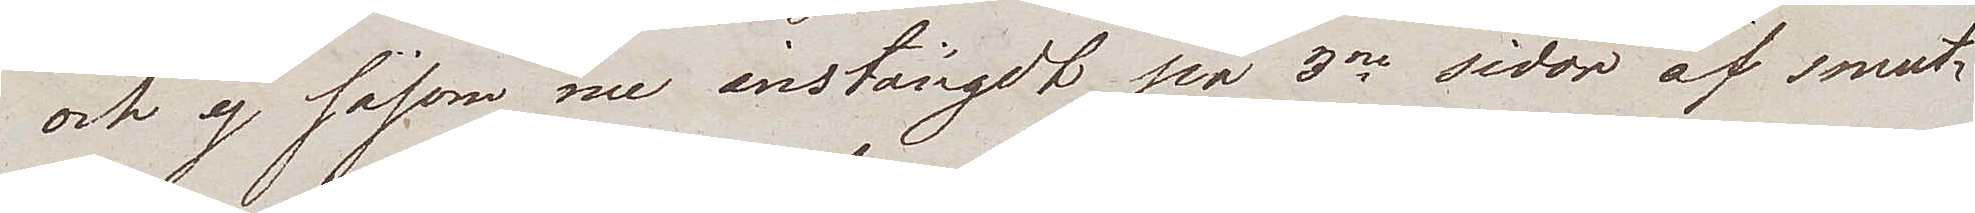och ej såsom nu instängdt på 3ne sidor af smut¬
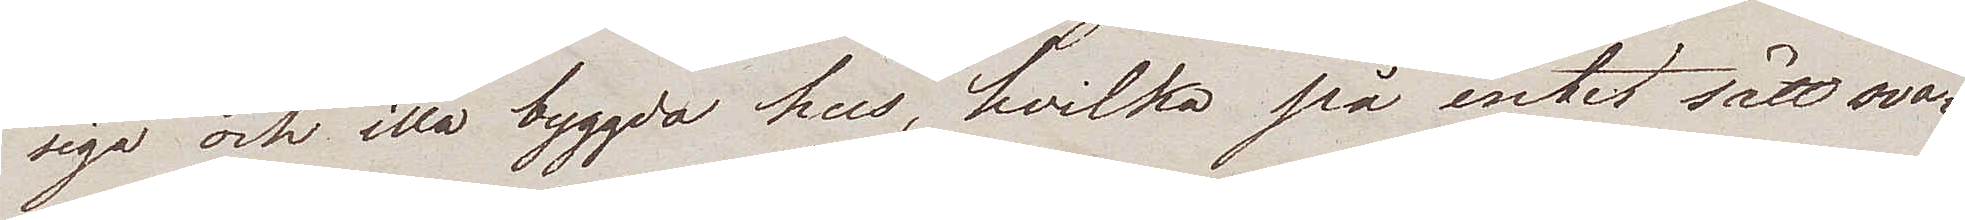siga och illa byggda hus, hvilka på intet sätt sva¬
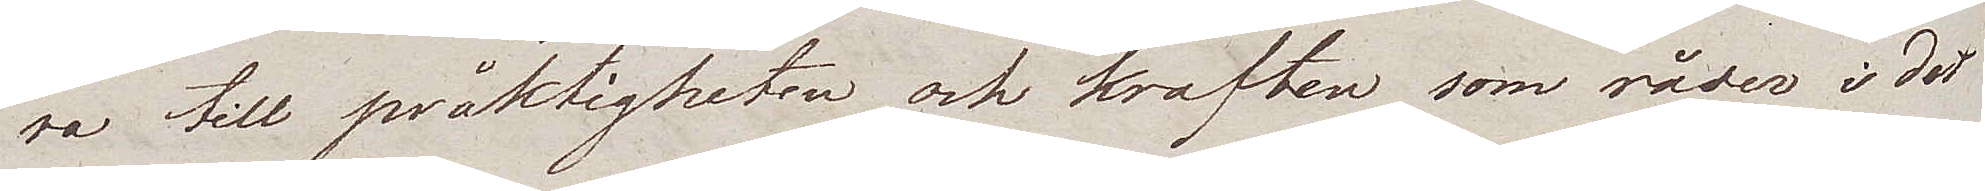ra till präktigheten och kraften som råder i det
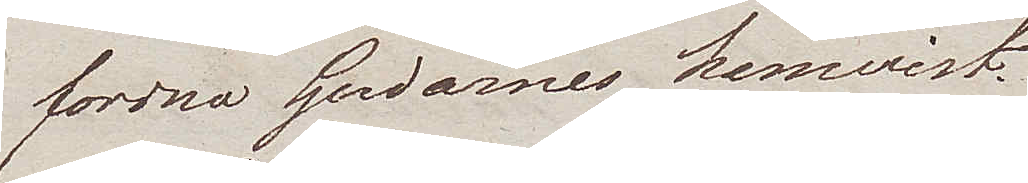fordna Gudarnes hemvist.
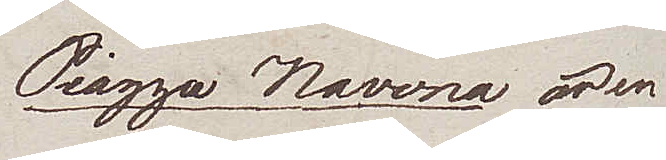Piazza Navona är en
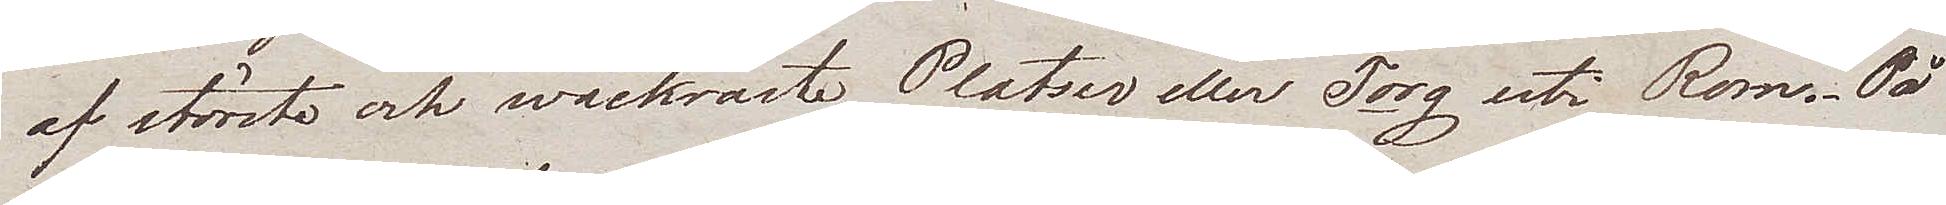af största och wackraste Platser eller Torg uti Rom. På
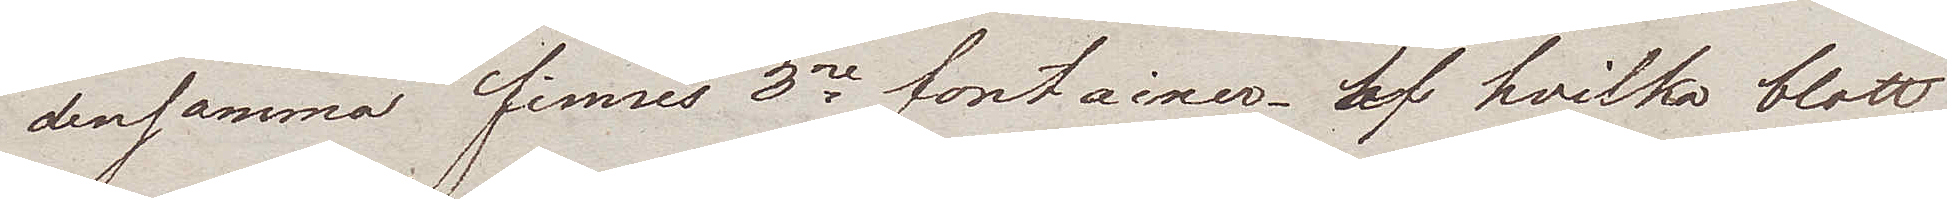densamma finnes 3ne fontainer af hvilka blott
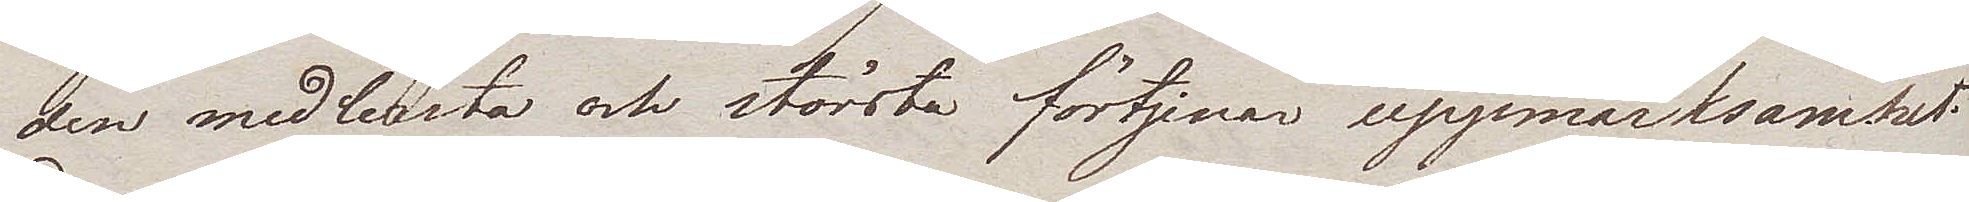den medlersta och största förtjenar uppmärksamhet.
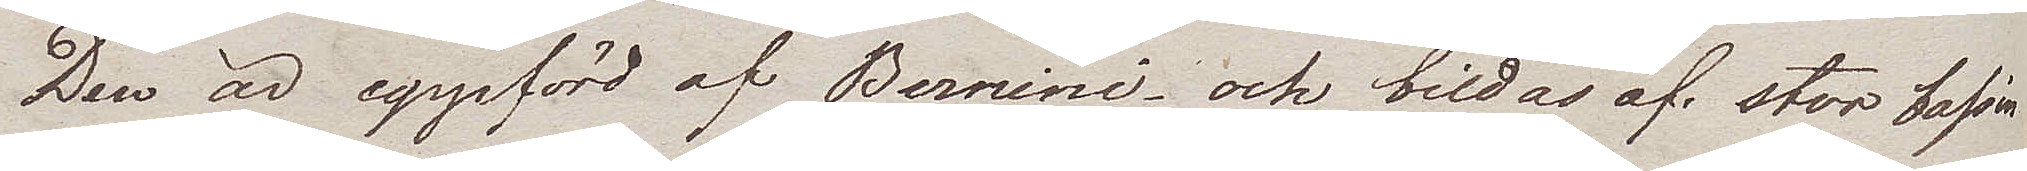Den är uppförd av Bernini, och bildas af stor bassin
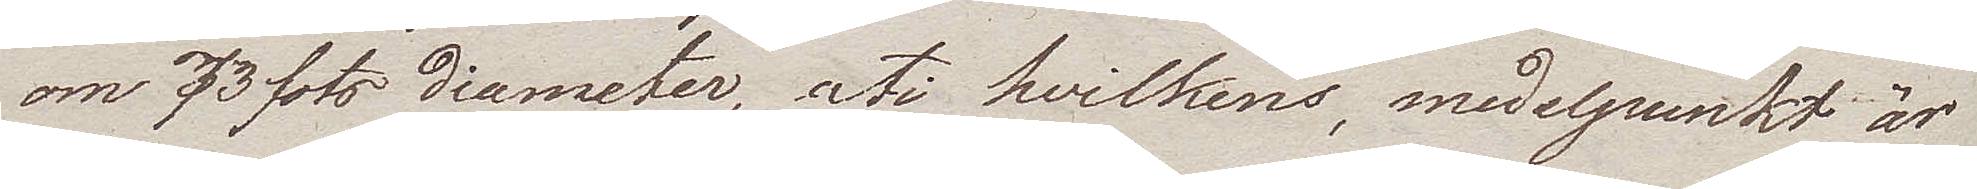om 73 fots diameter, uti hvilkens, medelpunkt är
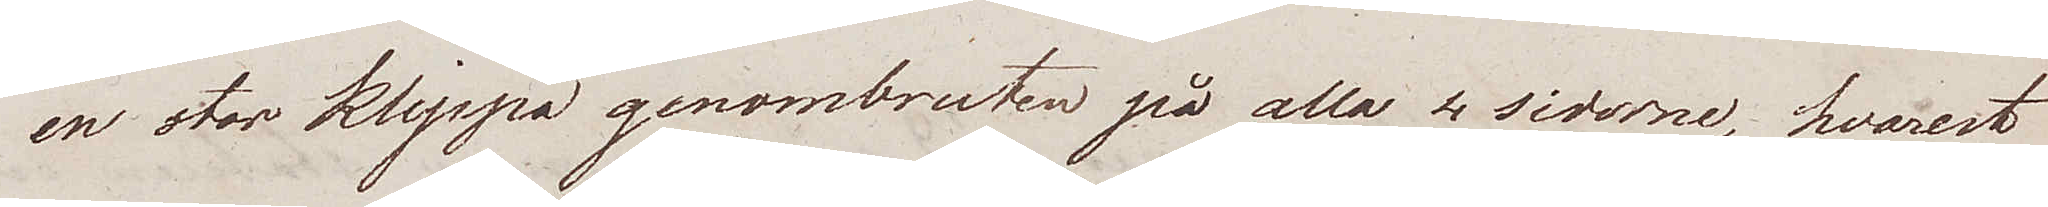en stor klippa genombruten på alla 4 sidorne, hvarest
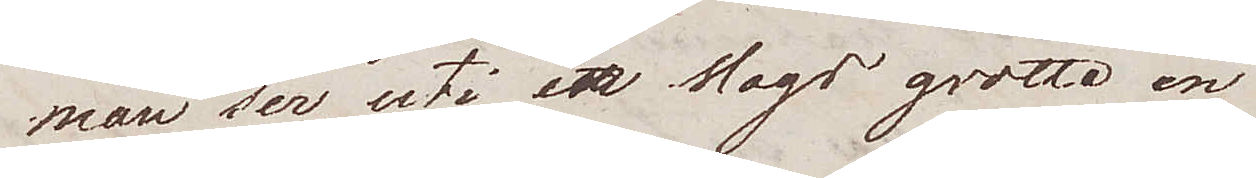man ser, uti en slags grotta en
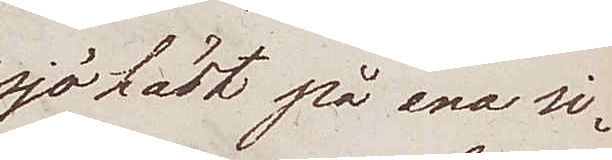sjöhäst på ena si¬
